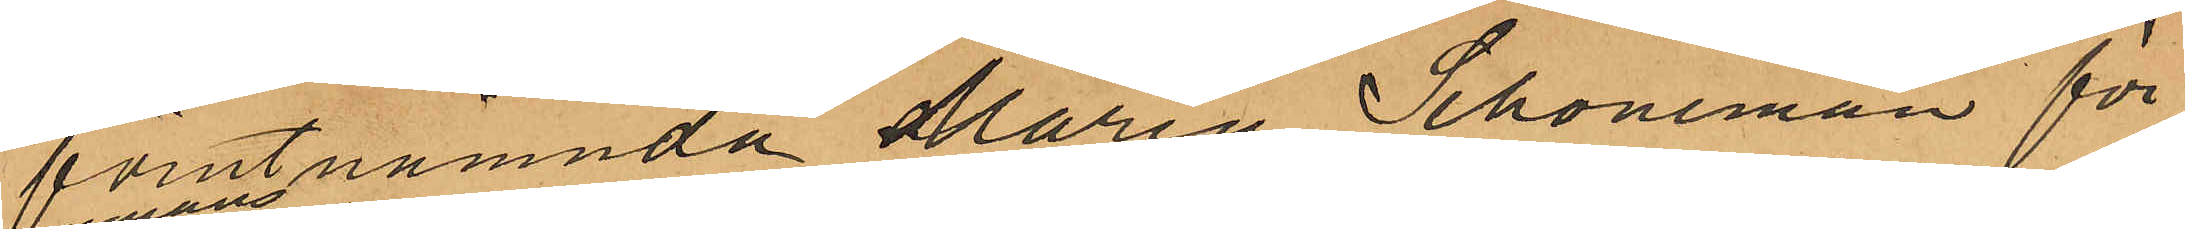förutnämnda Maria Schöneman för
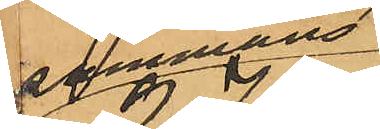tillsammans
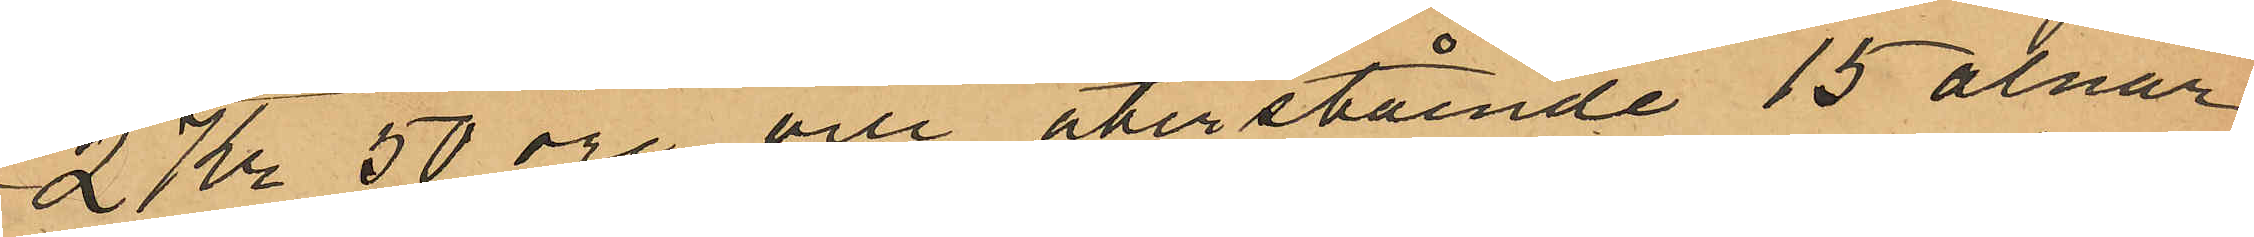2 Kr 50 öre och återstående 15 alnar
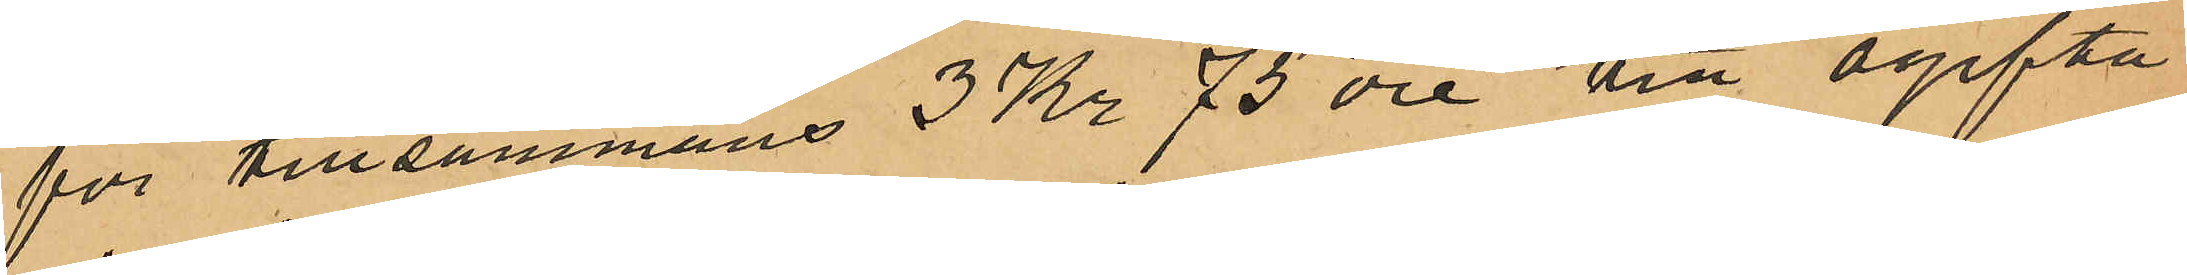för tillsammans 3 Kr 75 öre till ogifta
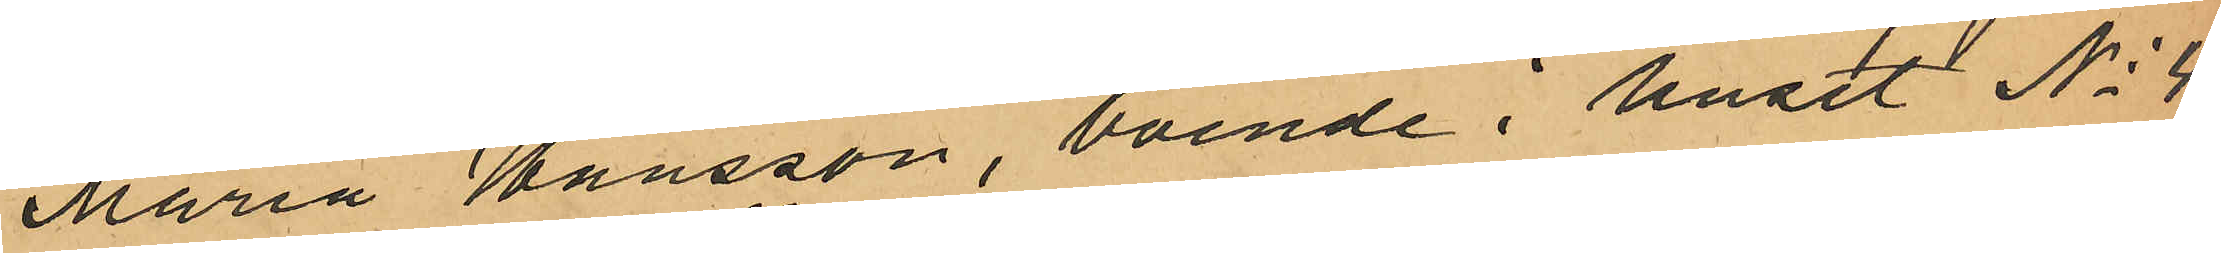Maria Hansson, boende i huset No 4
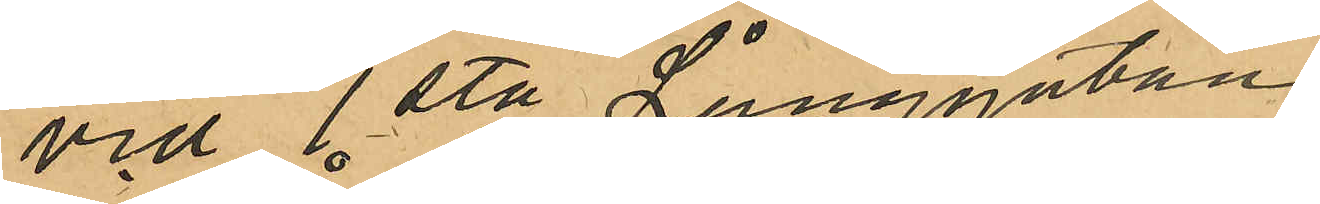vid 1sta Långgatan,
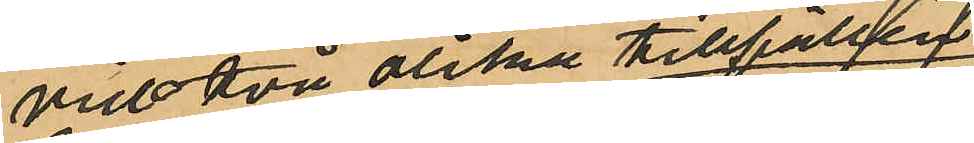vid två olika tillfällen
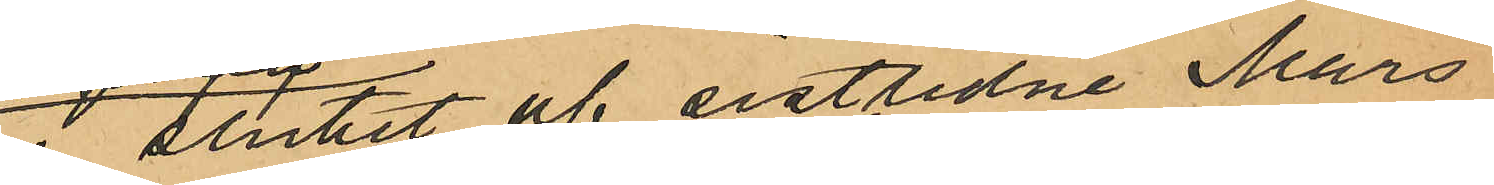i slutet af sistlidne Mars
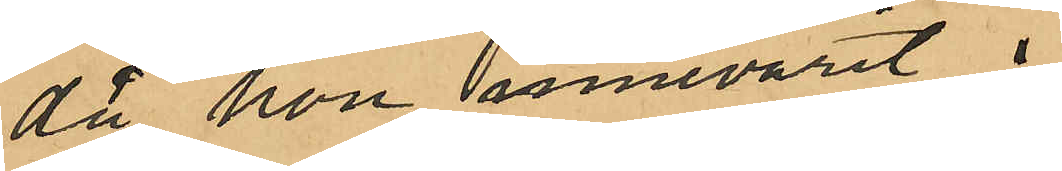då hon innevarit i 
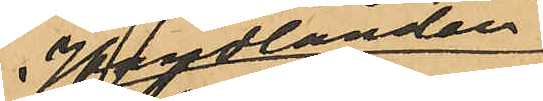Handlanden
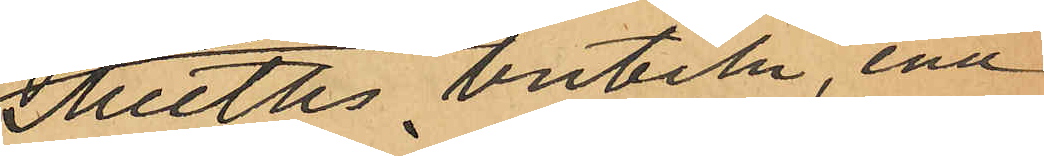Meeths butik, ena
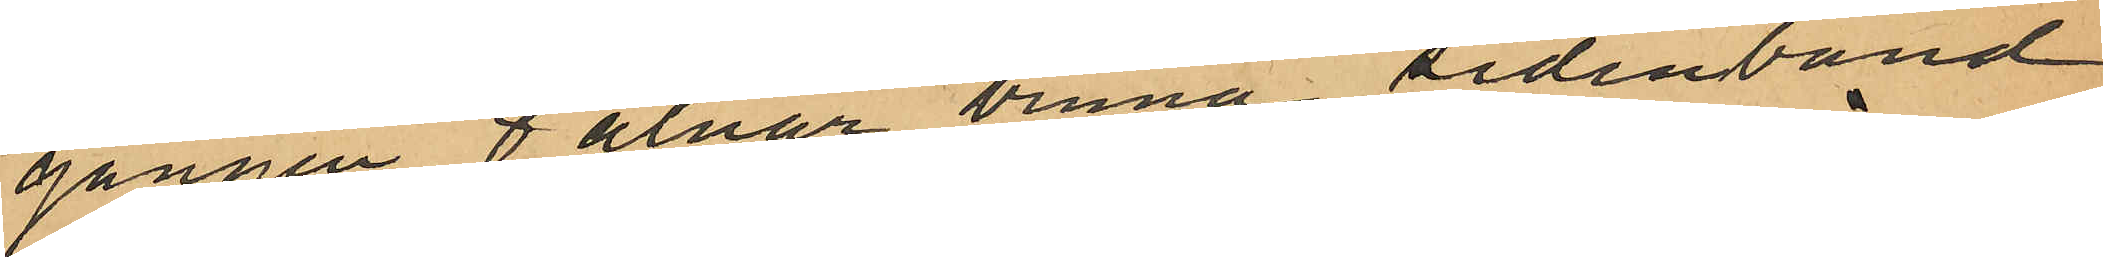gången 8 alnar bruna sidenband,
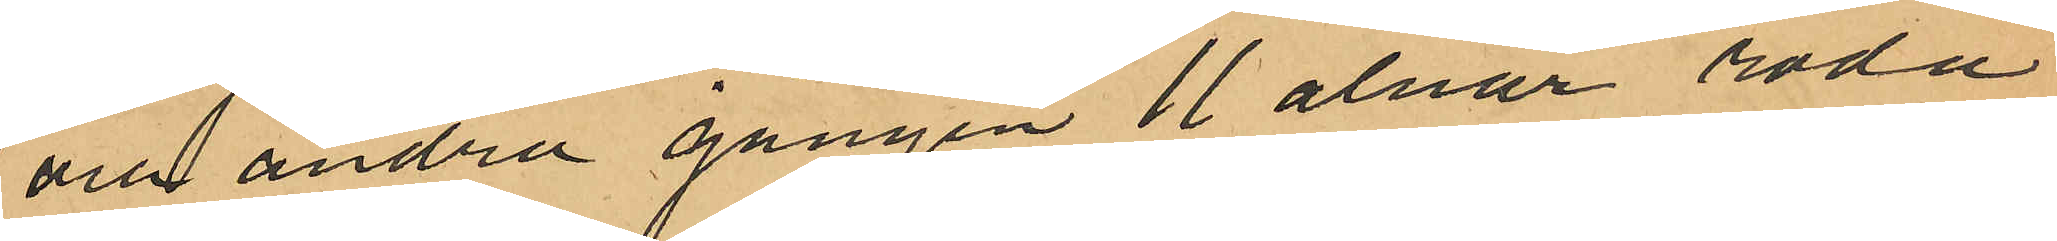och andra gången 11 alnar röda
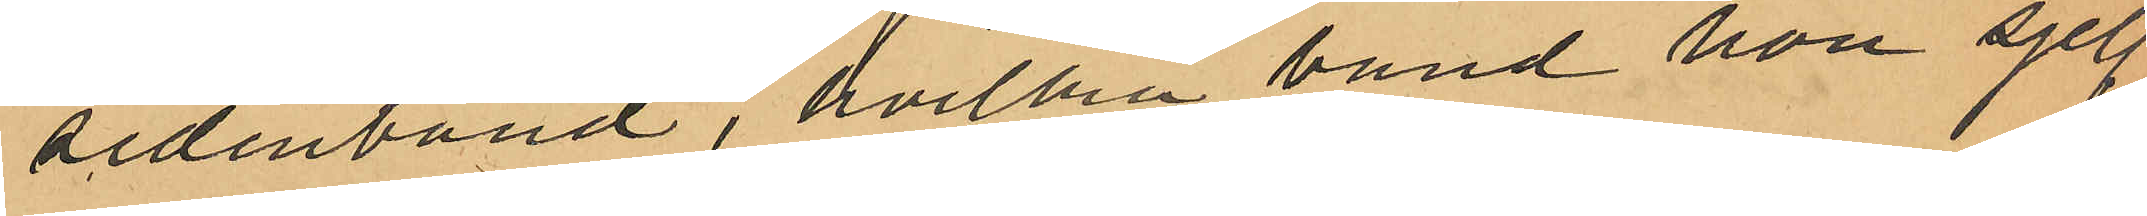sidenband, hvilka band hon sjelf
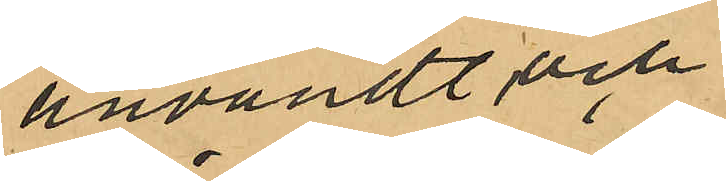användt och
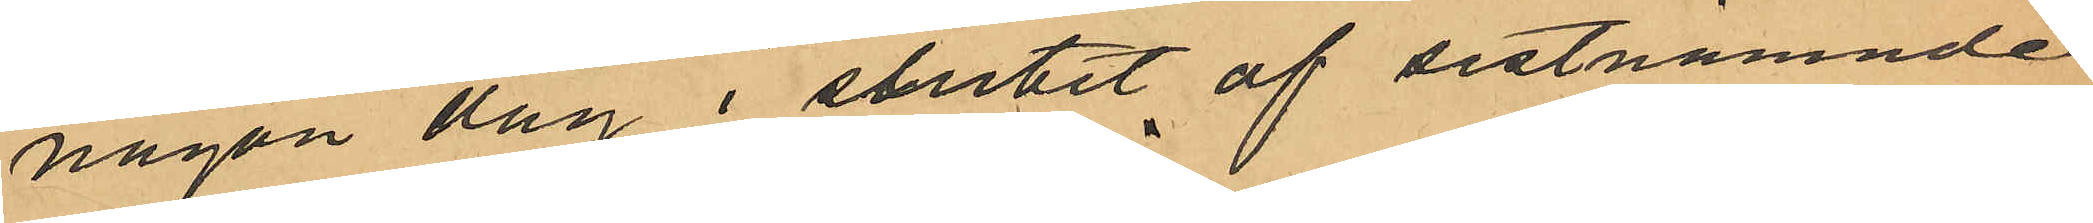någon dag i slutet af sistnämnde
